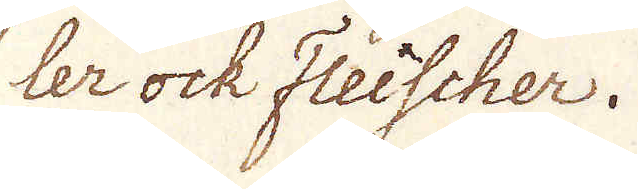ler ock Fleischer.
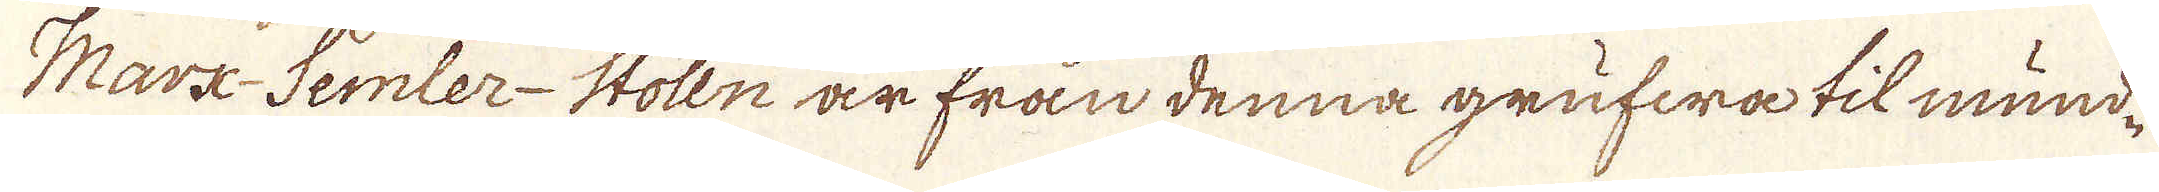Marx-Semler-Stolln är från denna grufwa til mund-
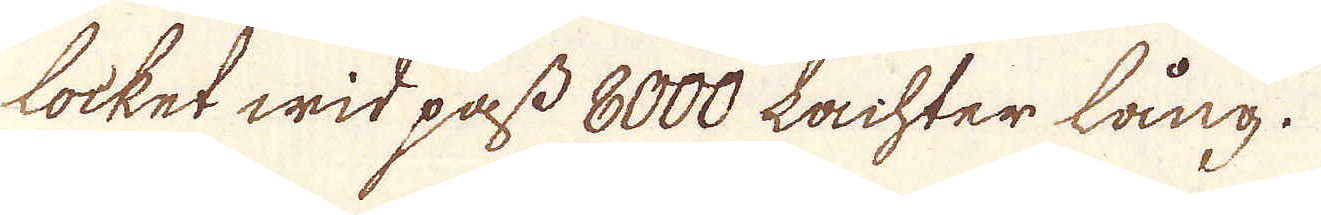locket wid pass 8000 Lachter lång.
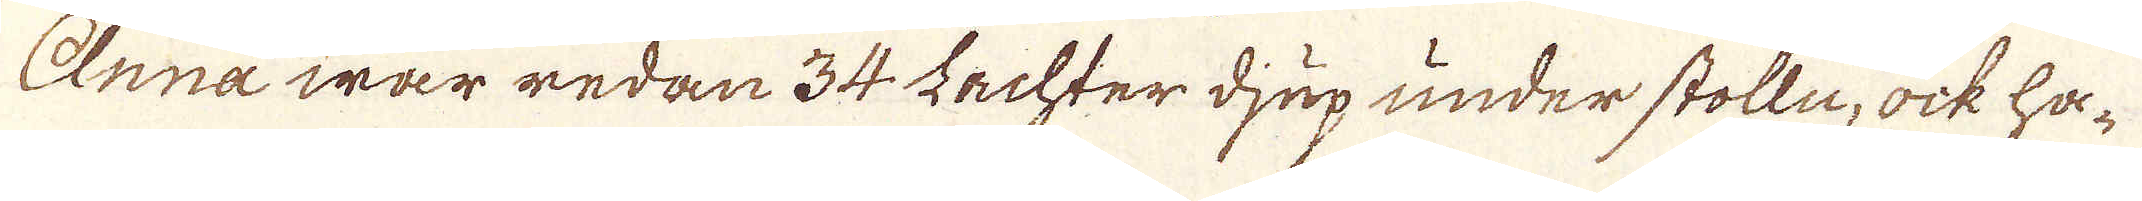Anna war redan 34. Lachter djup under stolln, ock ha-
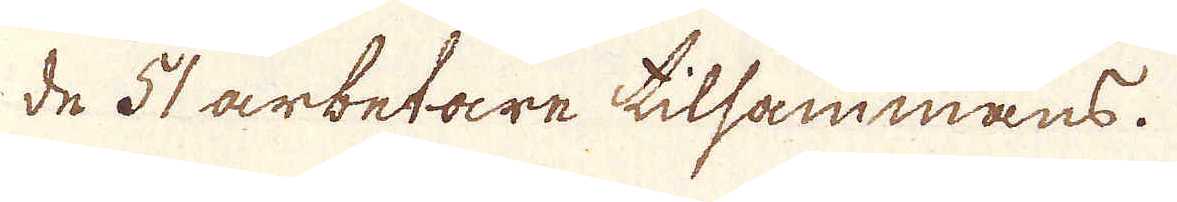de 51 arbetare tilsammans.
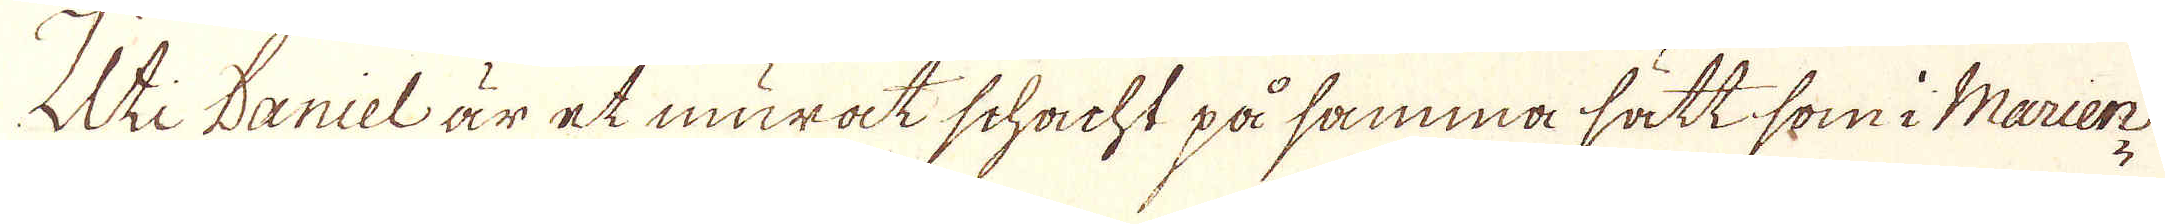Uti Daniel är et murat schacht på samma sätt som i Marier-
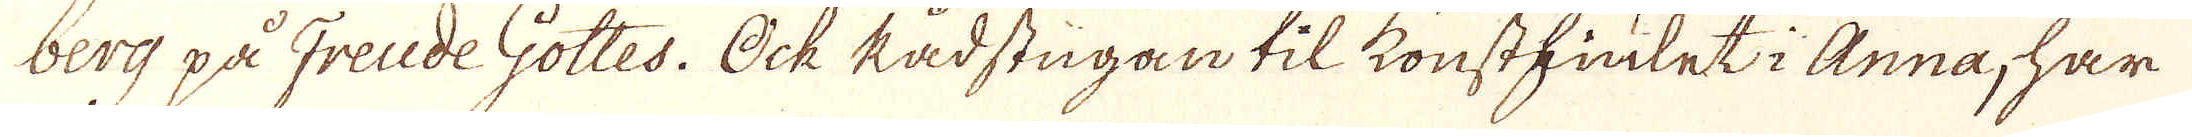berg på Freide Gottes. Ock Radstugan til konsthjulet i Anna, har
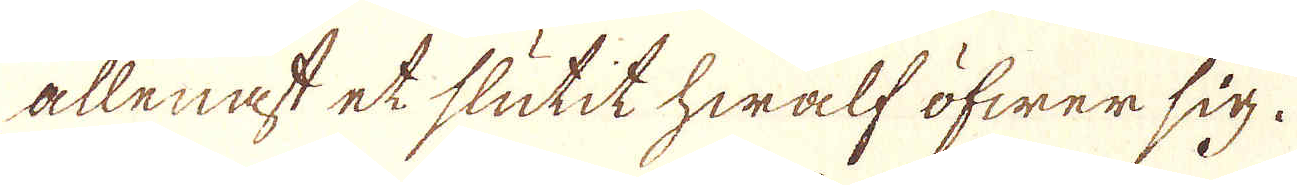allenast et slutit hwalf öfwer sig.
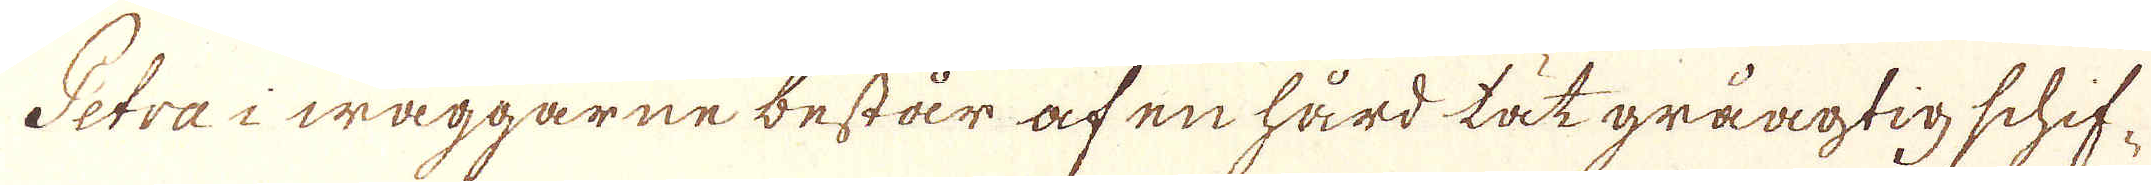Petra i wäggarne består af en hård tät gråagtig schif-
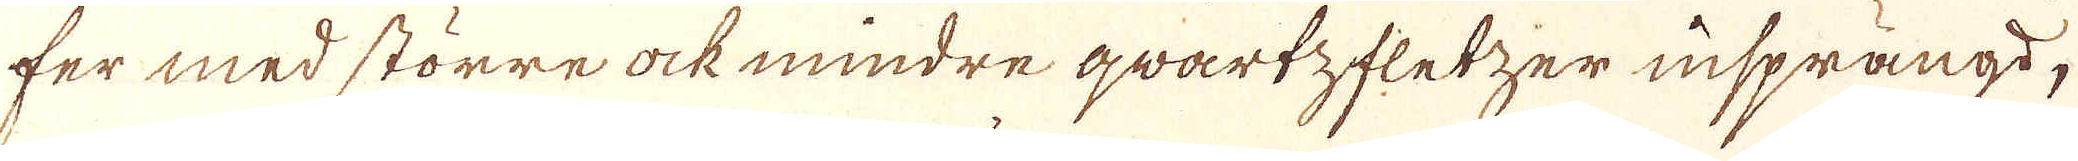fer med större ock mindre qwartzfletzer insprängd.
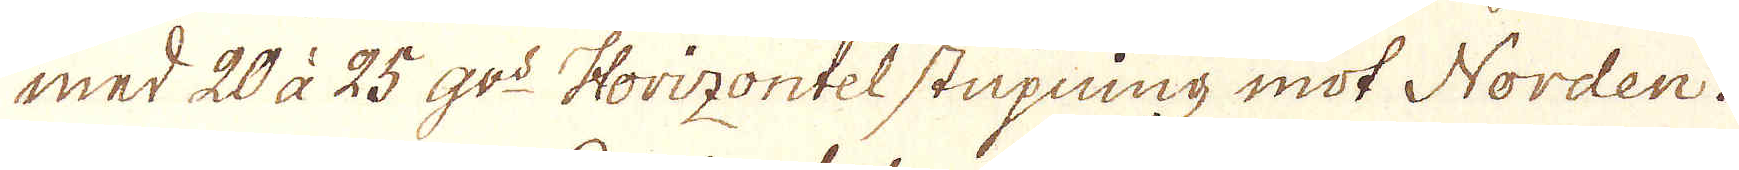med 20 à 25 qv:o Horizontel stupning mot Norden.
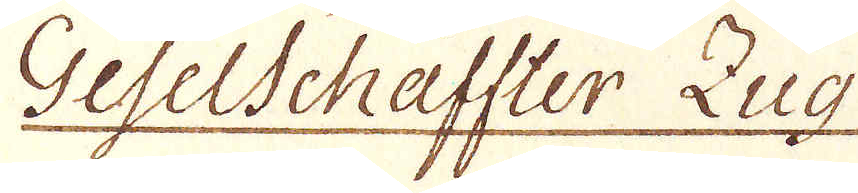Geselschaffter Zug
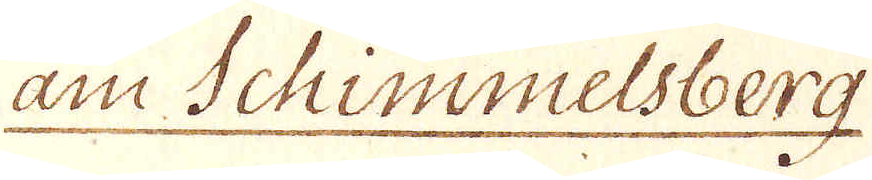am Schimmelsberg
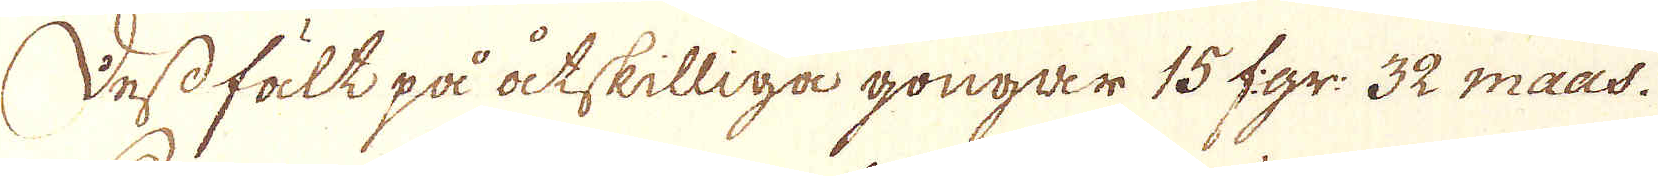Dess fält på åtskilliga gongar 15 f:gr: 32 maas.
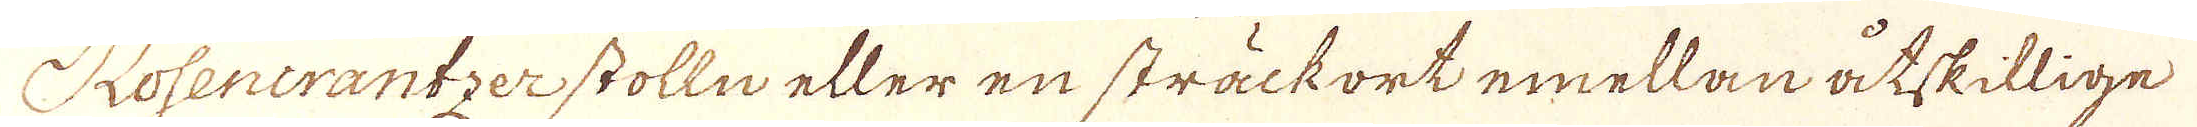Rosencrantzerstolln eller en sträckort emellan åtskillige
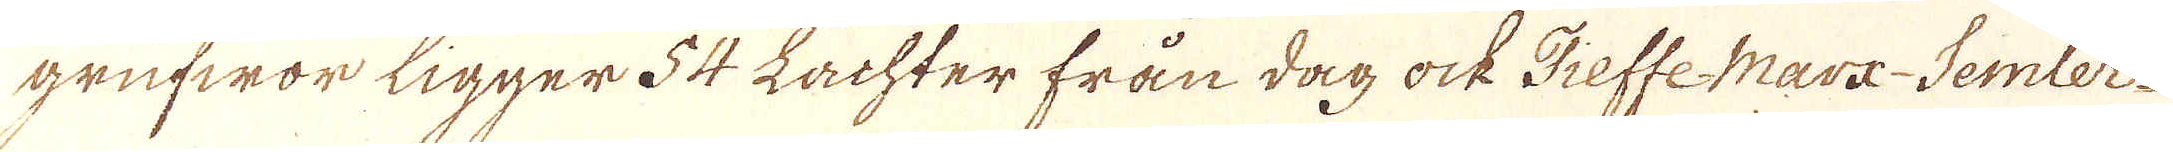grufwor ligger 54 Lachter från dag ock Tieffe Marx-Semler
